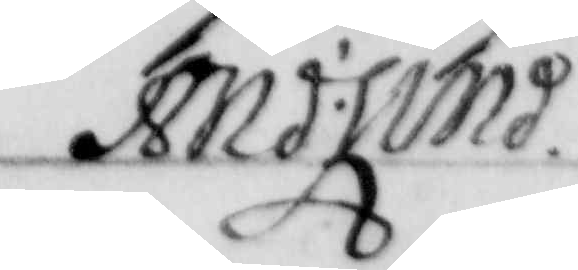And: Lind.
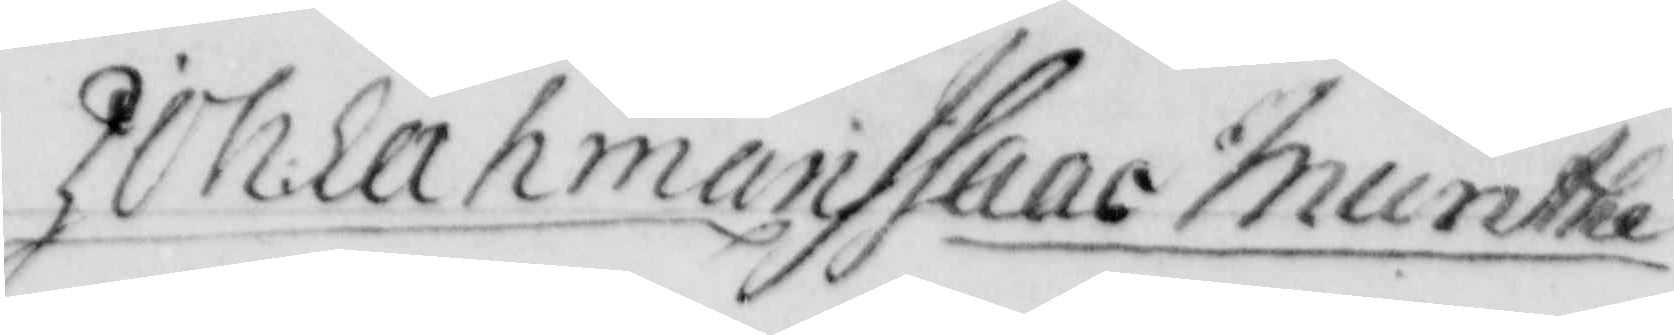Joh: Lahman Isac Munthe
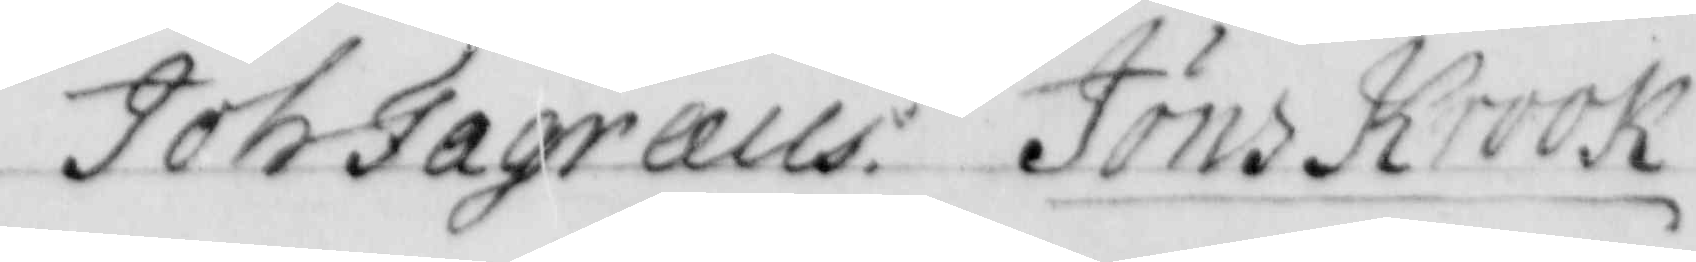Joh: Fagrells Jöns Krook
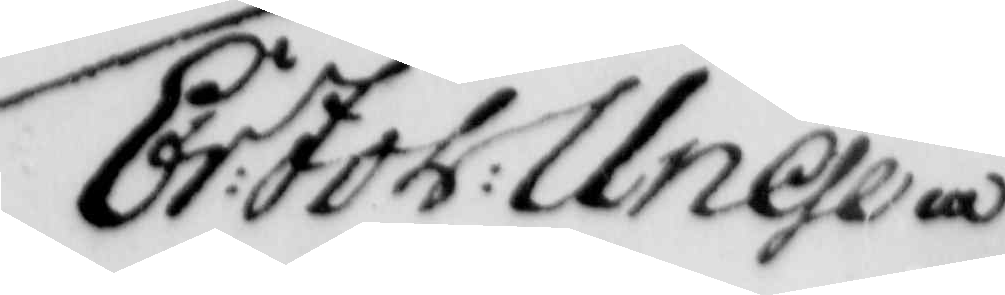Er: Joh: Unge 
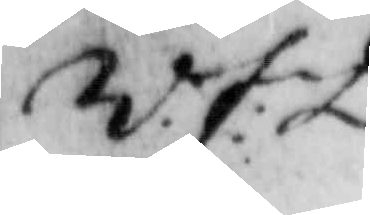W.f: D. 
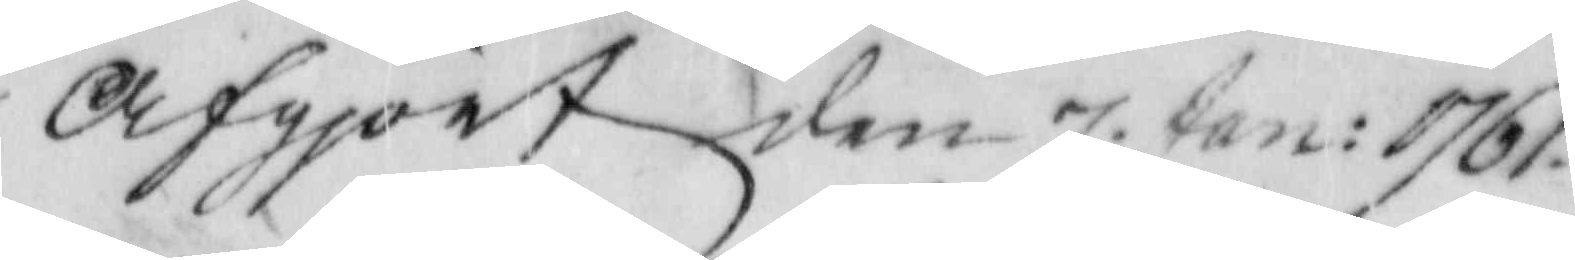afgiort den 7 Jan: 1761. 
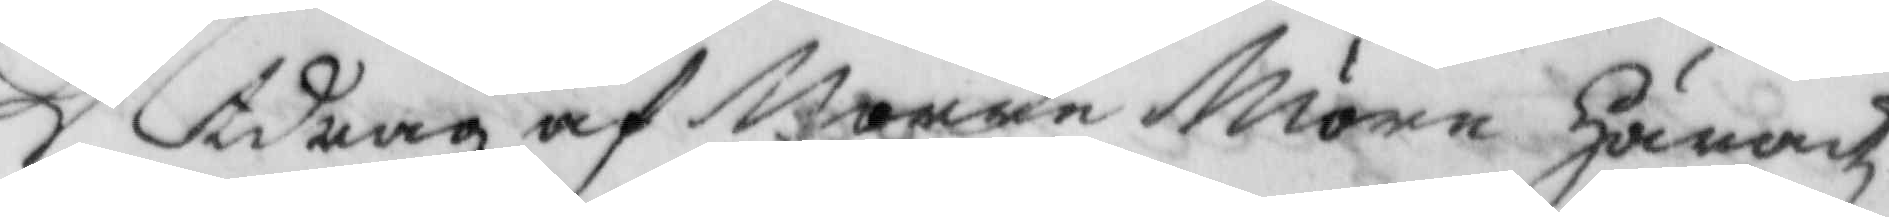Utdrag af Norre Möre Häradz¬
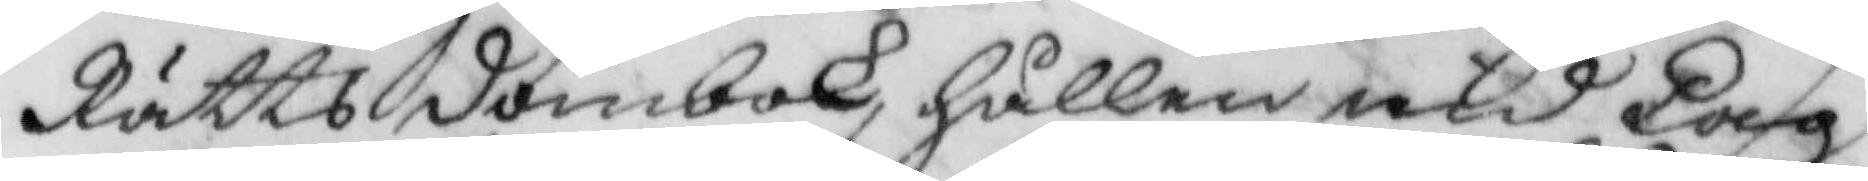Rätts dombok, hållen med Lag¬
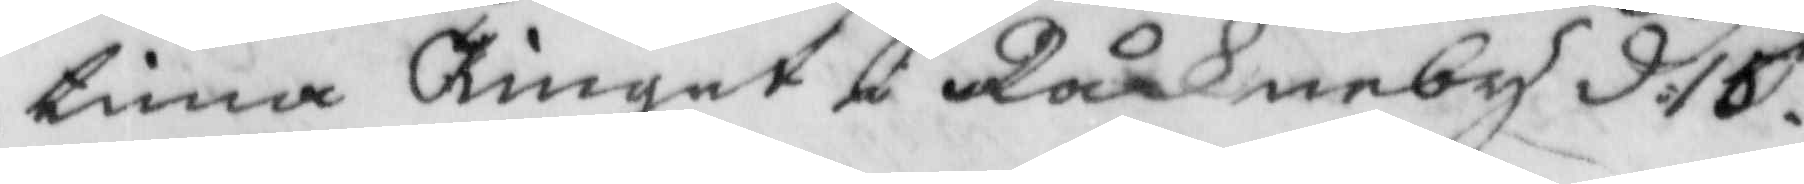tima Tinget i Råkneby d. 15. 
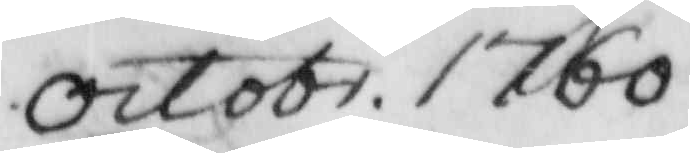Octobr. 1760. 
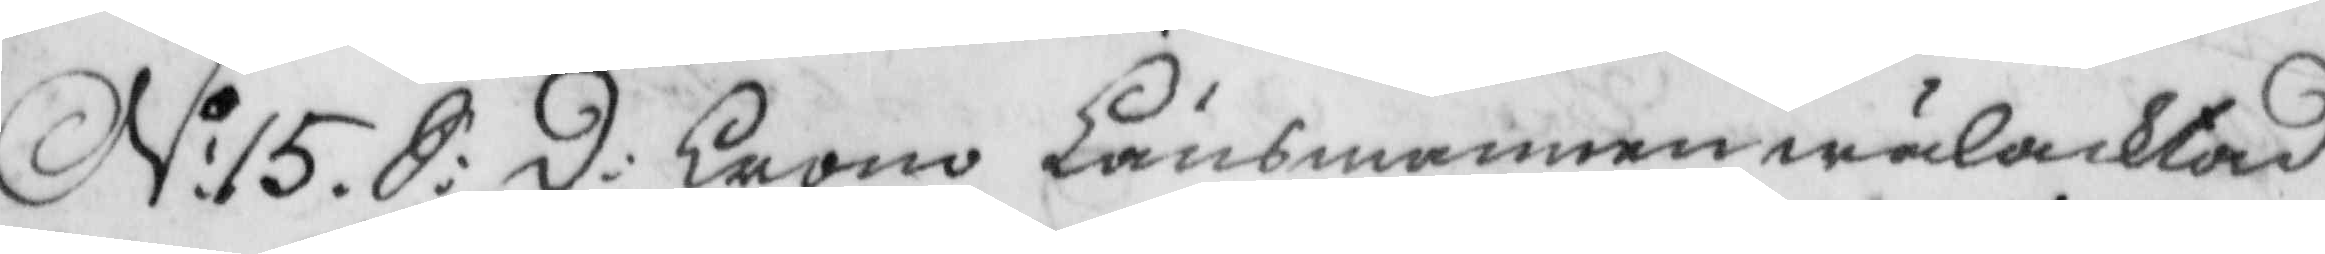No: 15. S: D: Crono Länsmannen wälacktad 
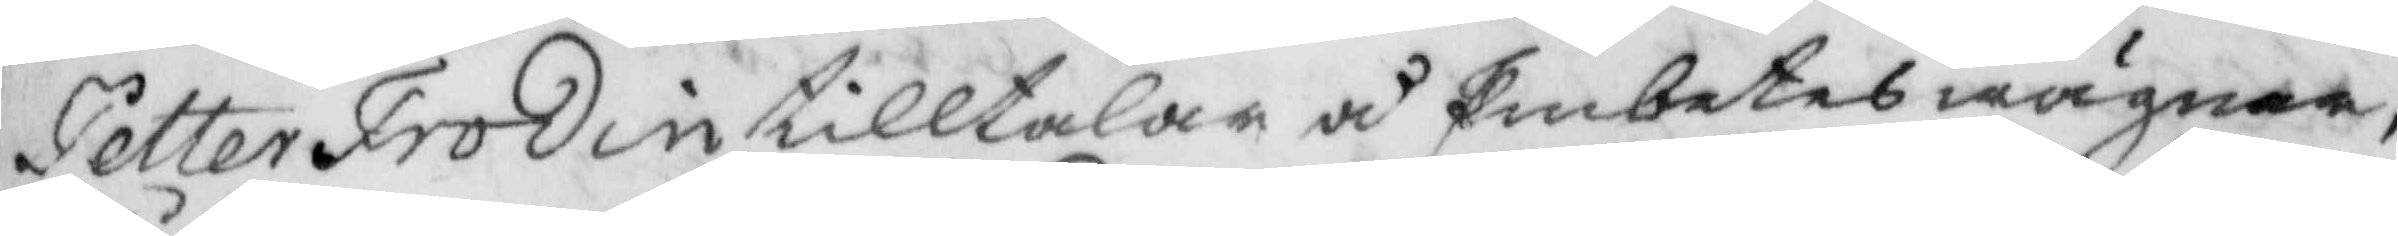Petter Frodin tilltalar å Embetes wägnar,
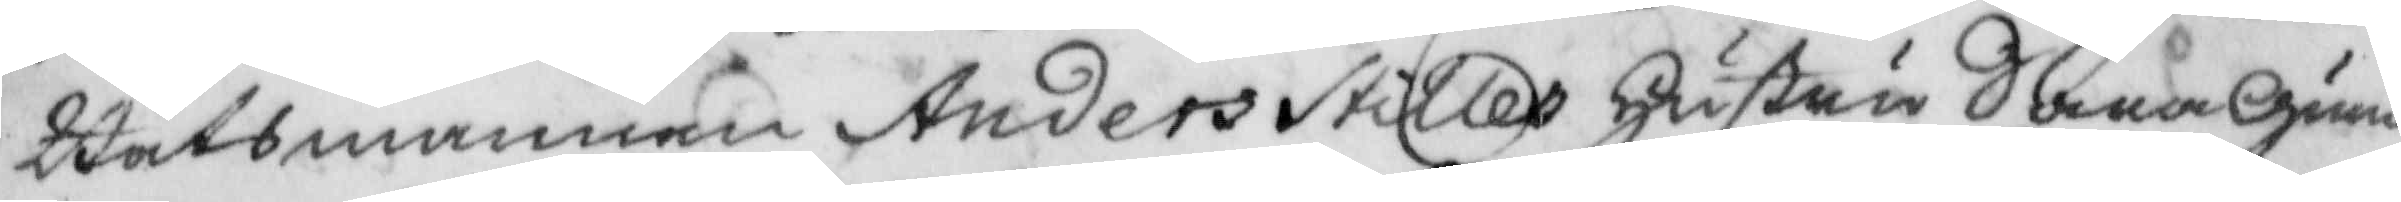Båtsmannen Anders Stilles hustru Sara Gun¬
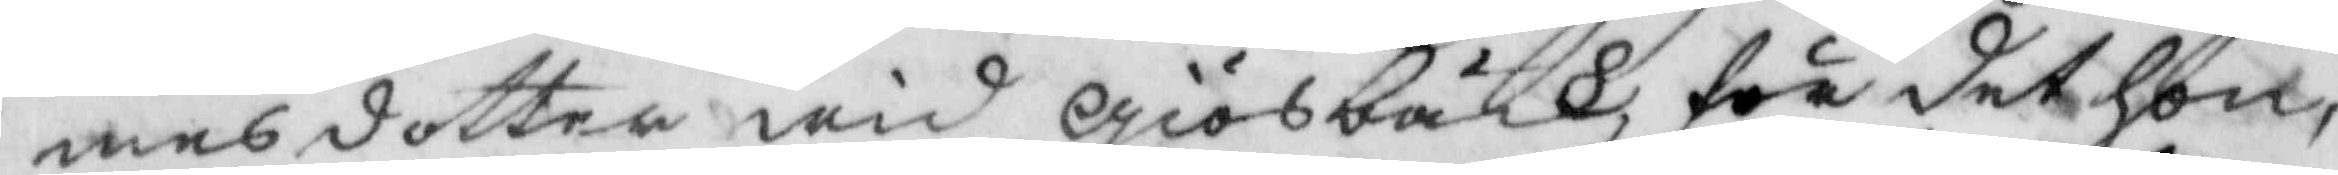mes dotter wid Giösbäck, för det hon,
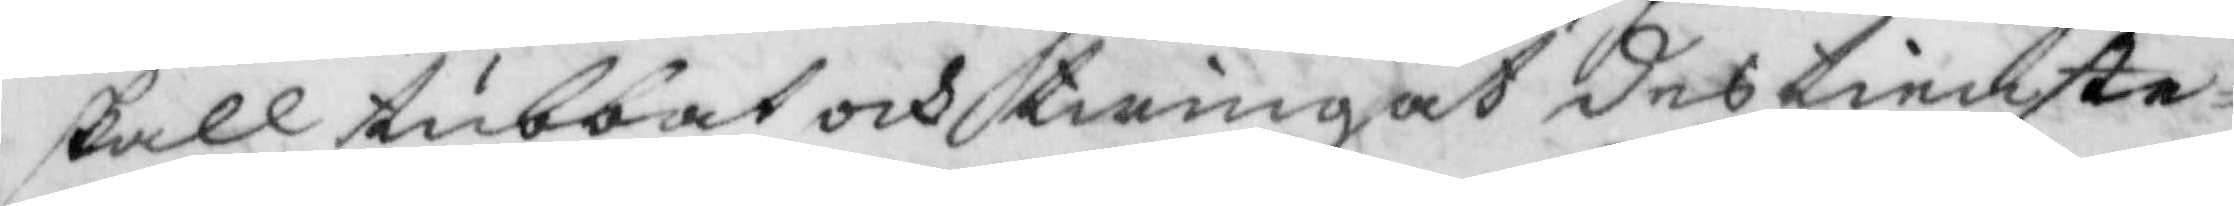skall tubbat och twingat des tienste¬
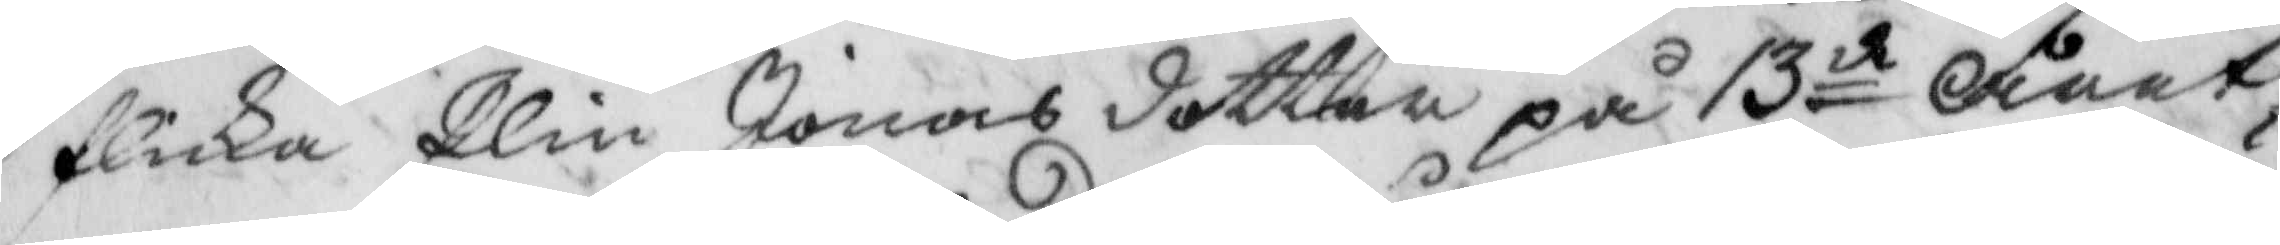flicka Elin Jonas dotter på 13de året,
